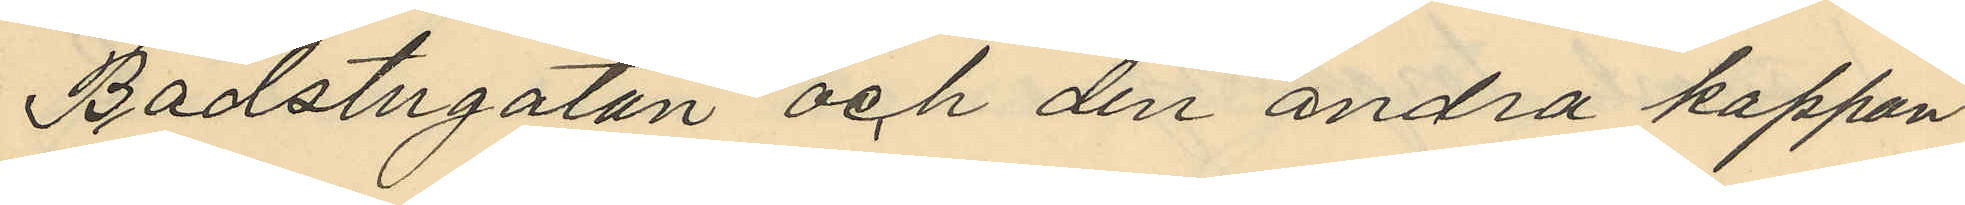Badstugatan och den andra kappan
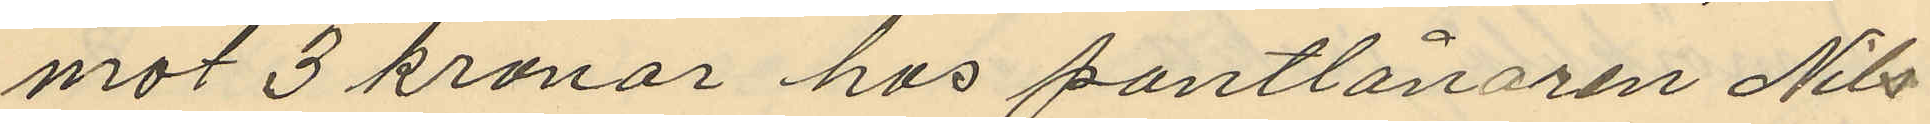mot 3 kronor hos pantlånaren Nils
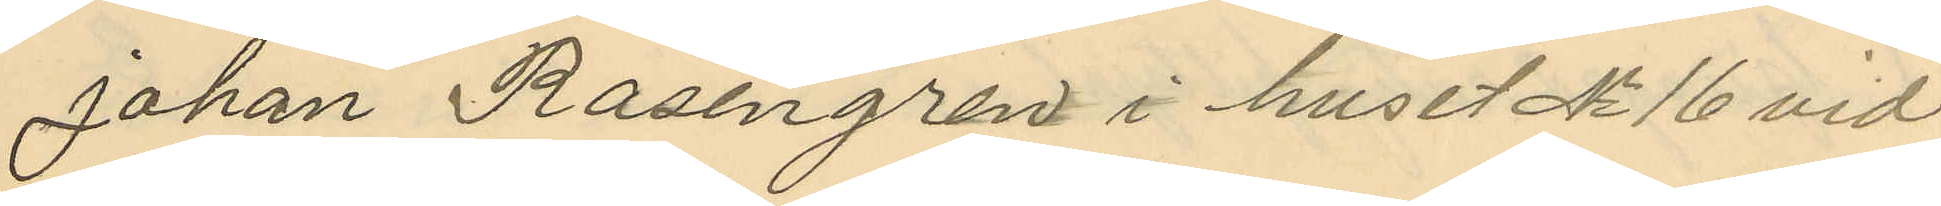Johan Rosengren i huset No 16 vid
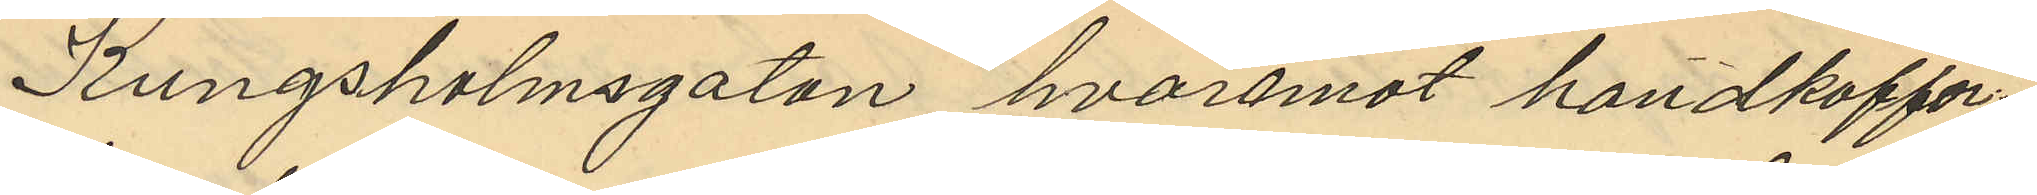Kungsholmsgatan, hvaremot handkoffer¬
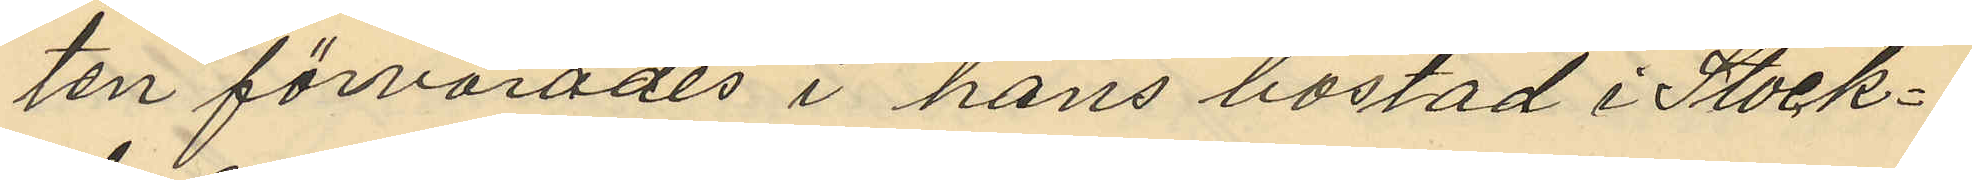ten förvarades i hans bostad i Stock¬
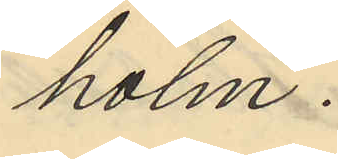holm.
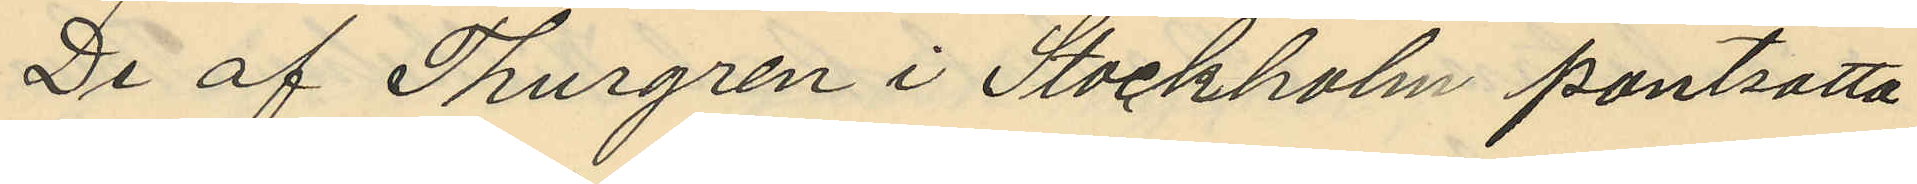De af Thurgren i Stockholm pantsatta
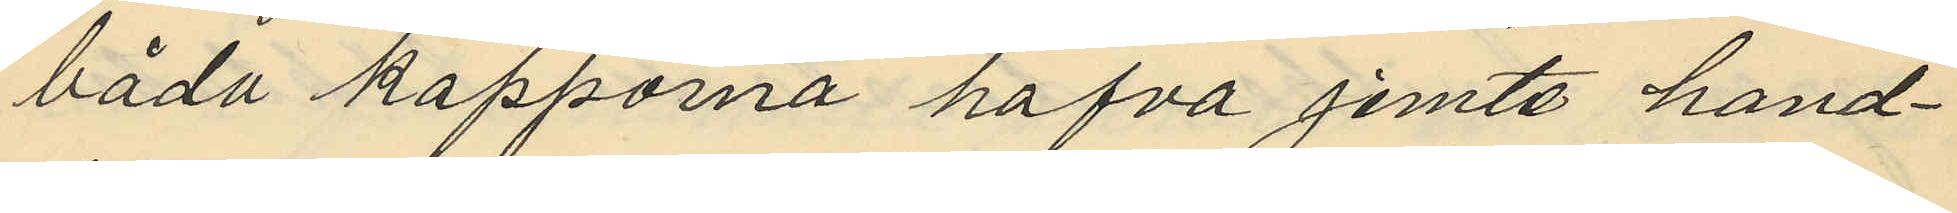båda kapporna hafva jemte hand¬
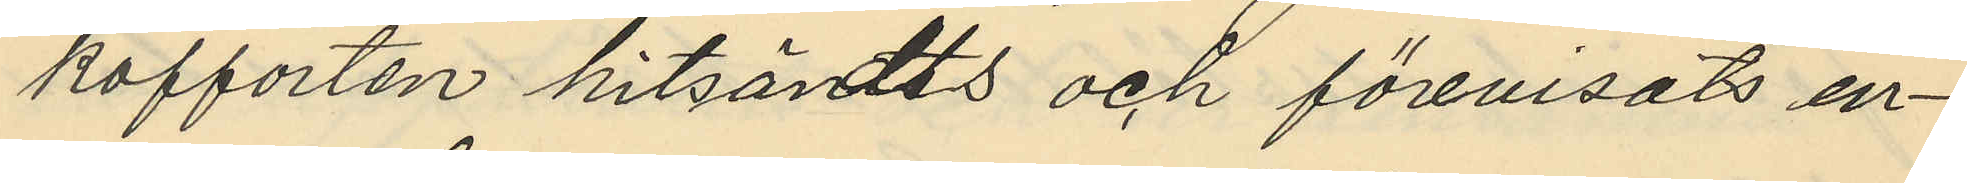kofforten hitsändts och förevisats en¬
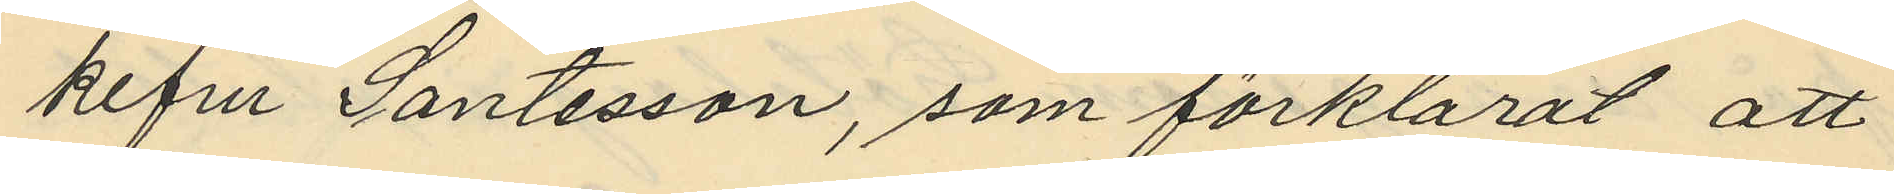kefru Santesson, som förklarat att
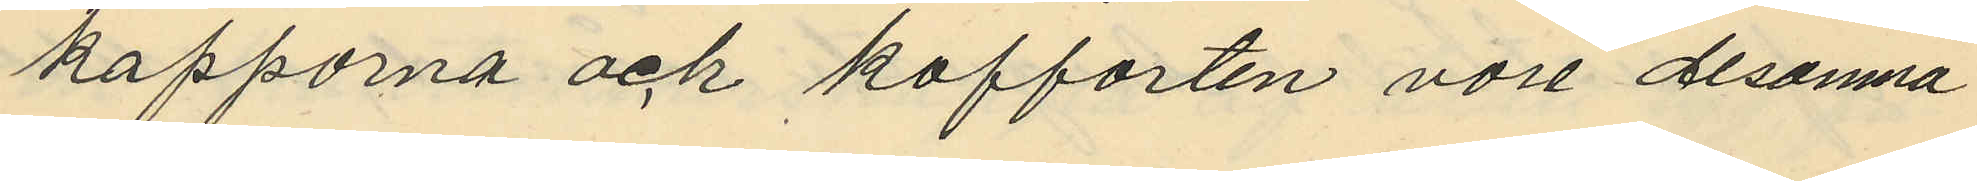kapporna och kofforten vore desamna
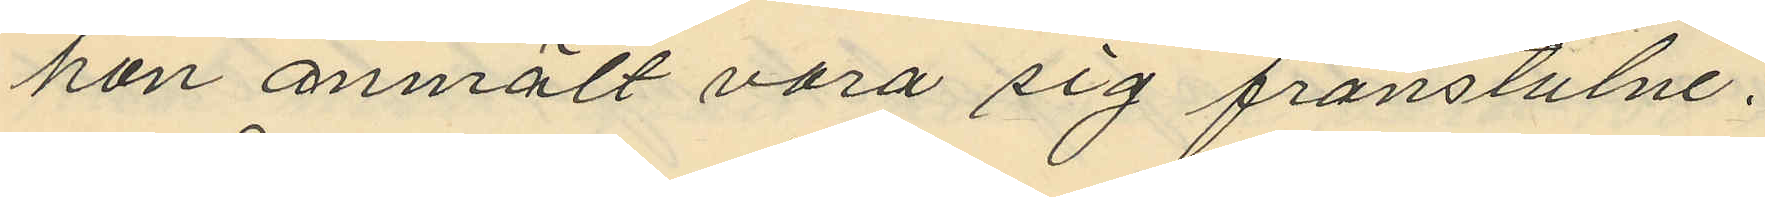hon anmält vara sig frånstulne.
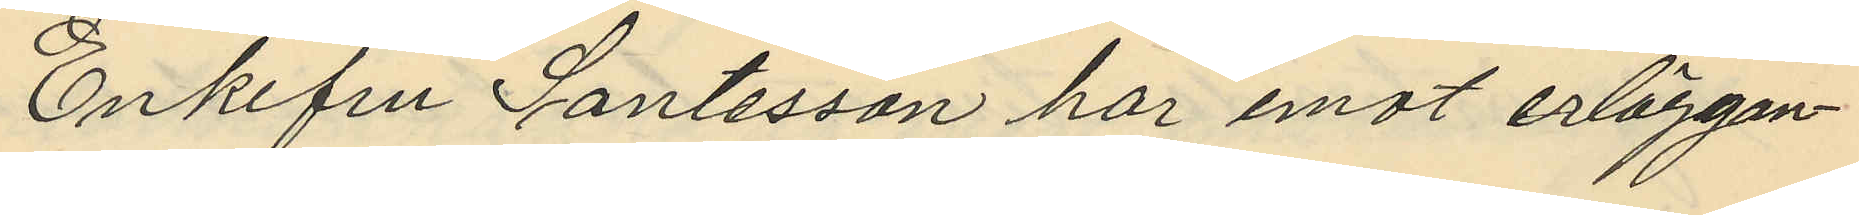Enkefru Santesson har emot erläggan¬
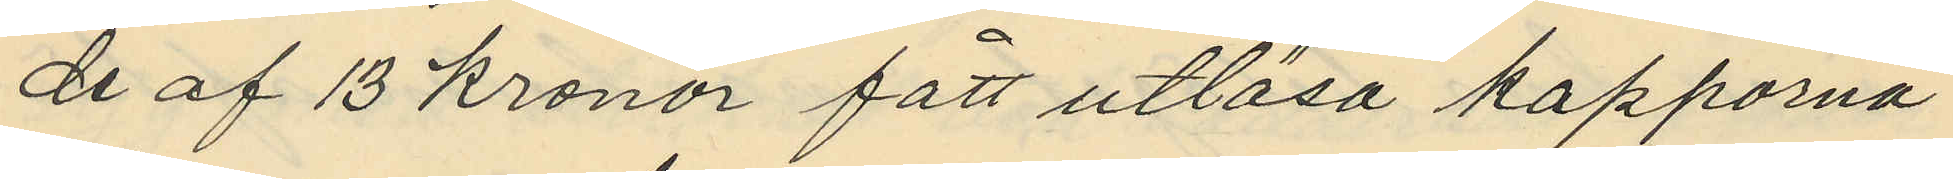de af 13 kronor fått utlösa kapporna
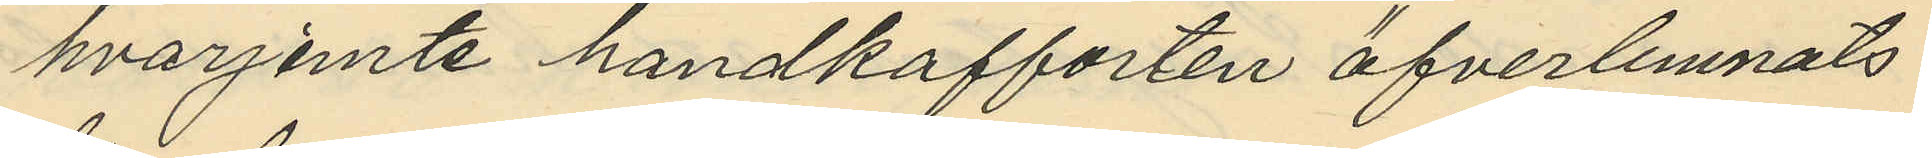hvarjemte handkafforten öfverlemnats
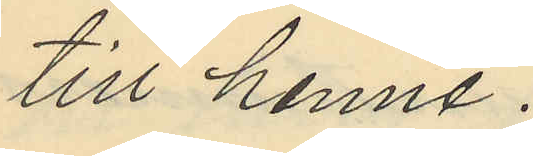till henne.
